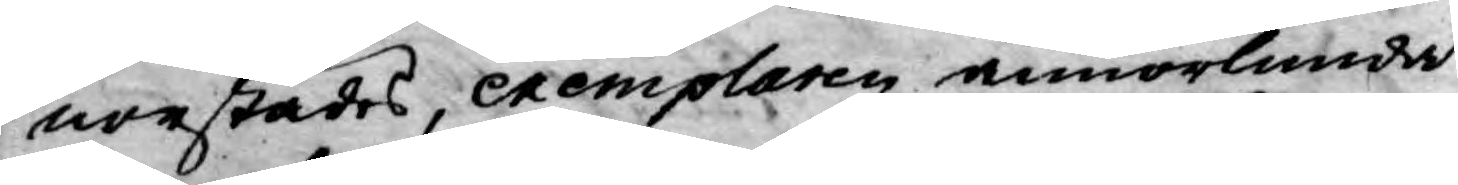norstädes, exemplaren annorlunda
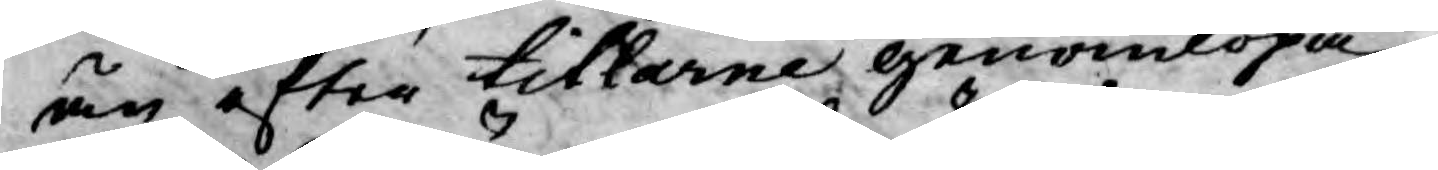än efter titlarne genomlöpa,
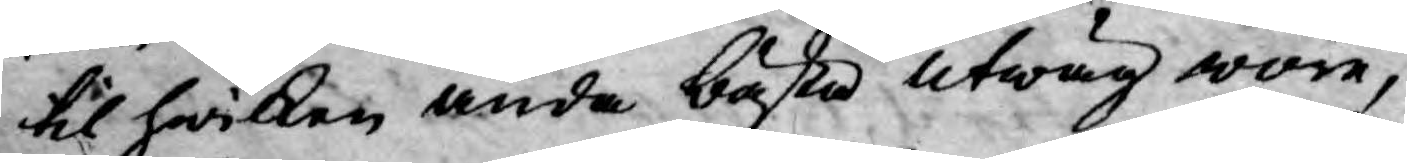til hwilken ända bästa utwäg wore,
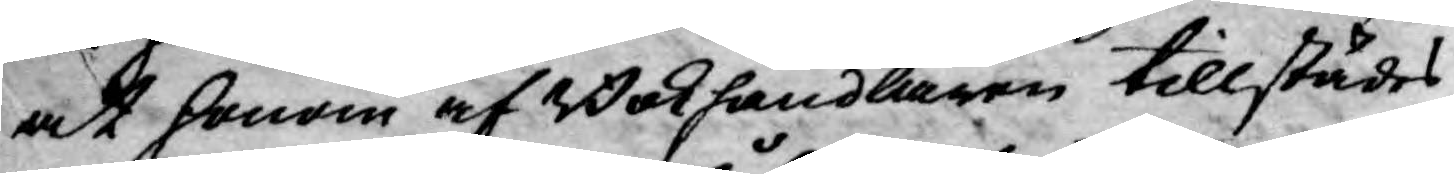at honom af Bokhandlaren tillstädes
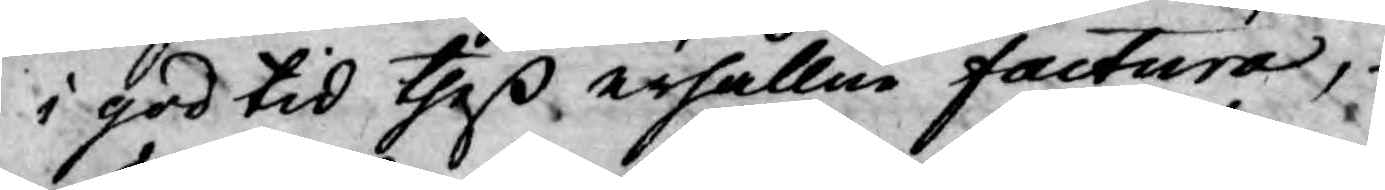i god tid theß erhållne factura,
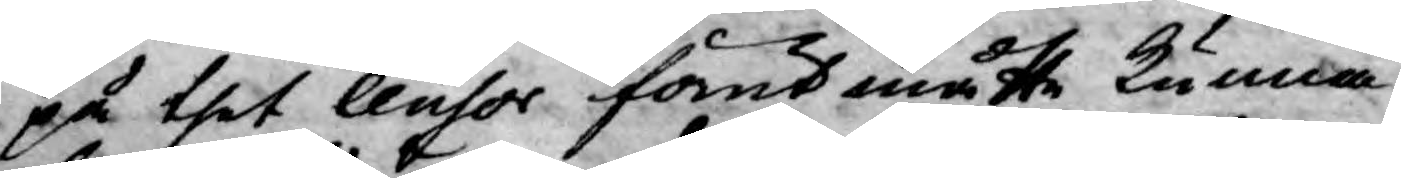på thet Censor förut måtte kunna
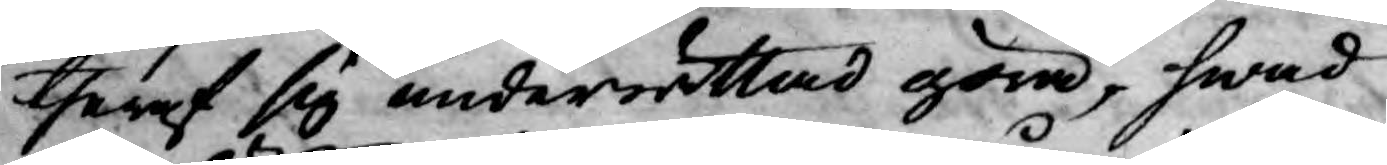theraf sig underrättad göra, hwad
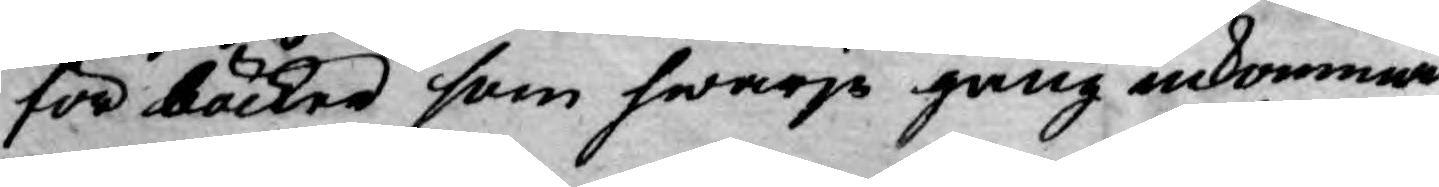för böcker som hwarje gång inkommer
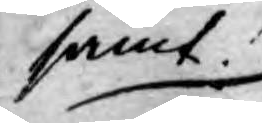samt
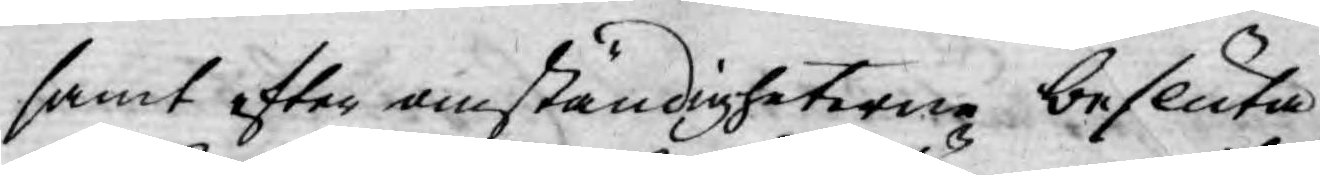samt efter omständigheterne besluta
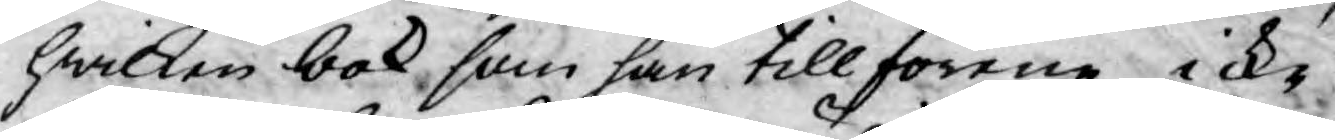hwilken bok som han tillförene icke
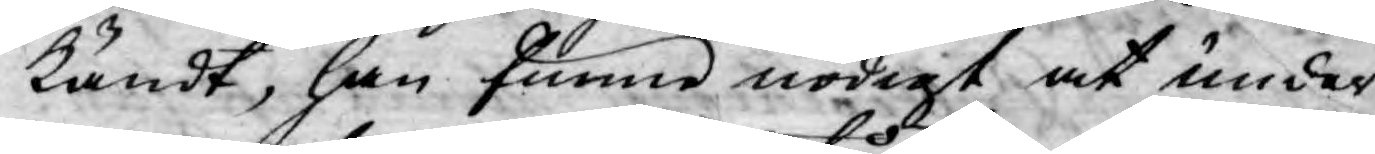kändt, han funne nödigt at under
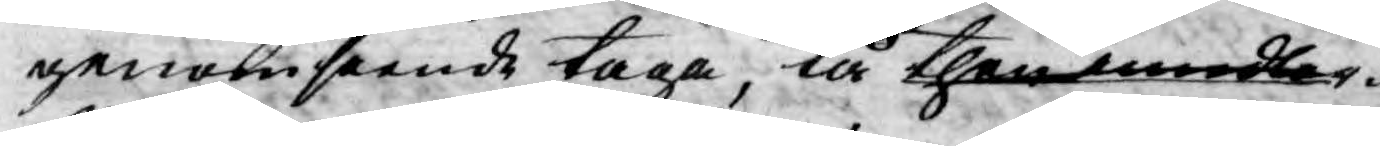genomseende taga, tå then imedler¬
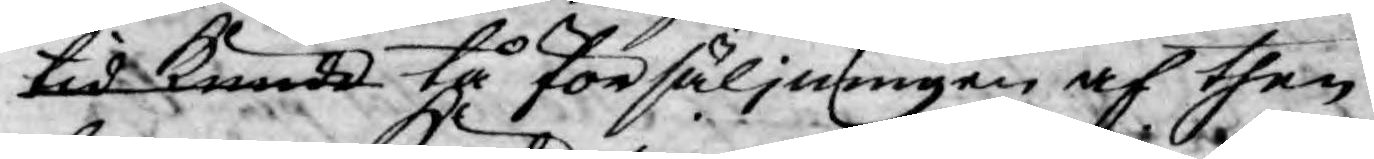tid kunde tå försäljningen af then
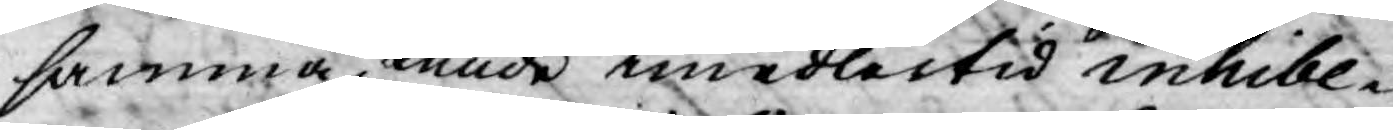samma, kunde imedlertid inhibe¬
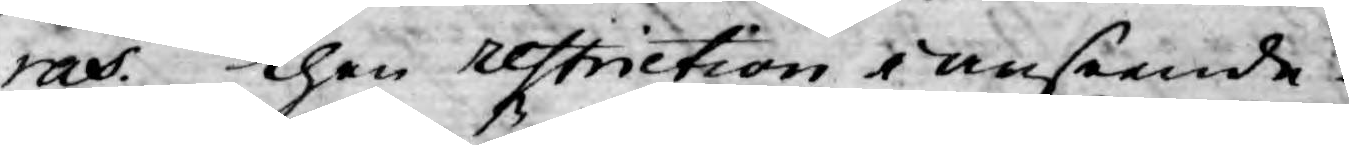ras. Then restriction i anseende
